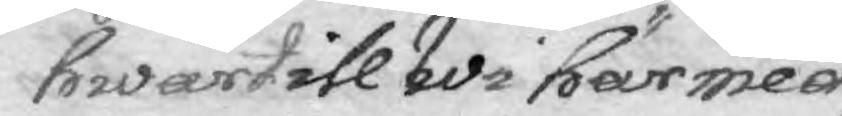hwartill Wi här med
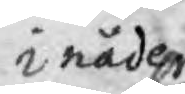i nåder
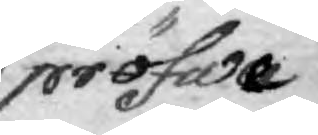pröfwa
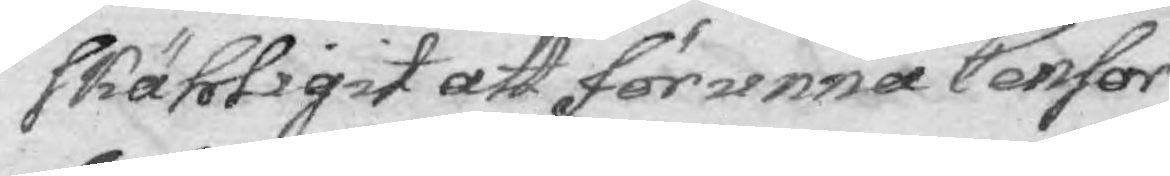skähligit att förunna Censor
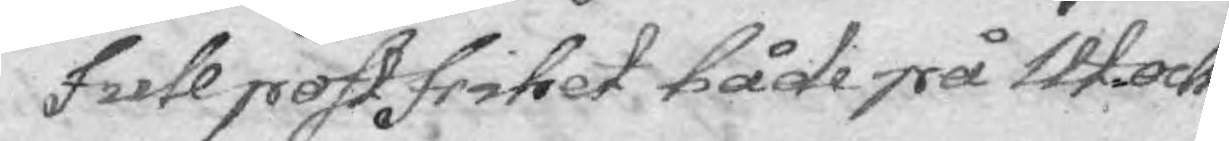full postfrihet både på Ut- och
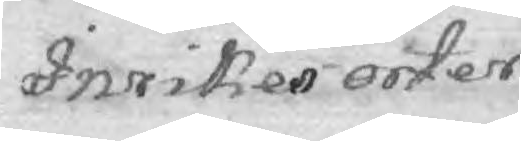Inrikes orter.
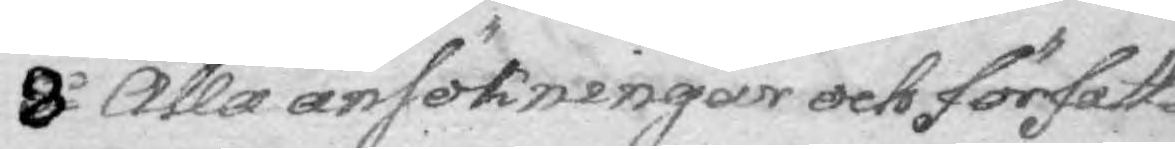8o Alla ansökningar och författ¬
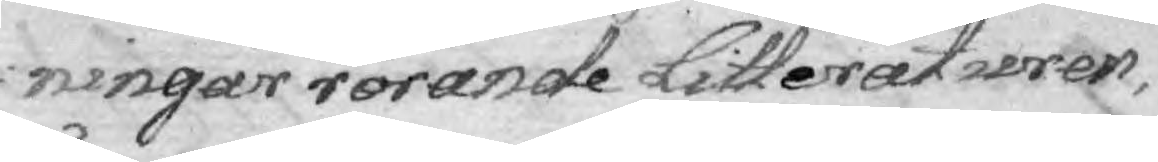ningar rörande Litteraturen,
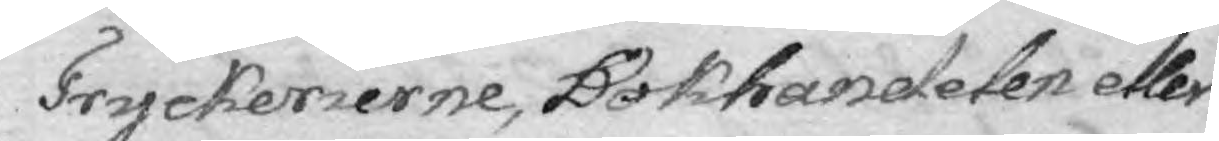Tryckerierne, Bokhandelen eller
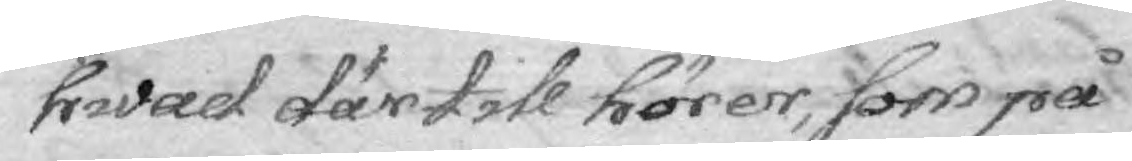hwad därtill hörer, som på
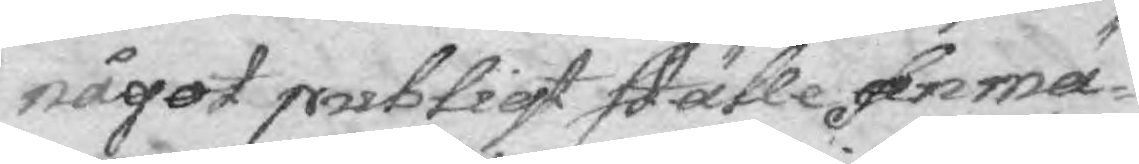något publigt ställe anmä¬
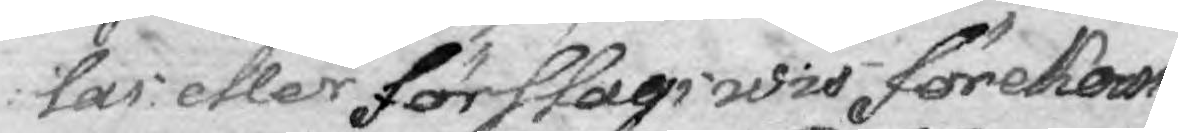laa eller förslagswis förekom¬
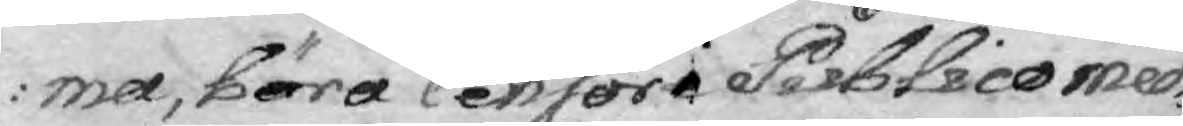ma, böra Censori Publico med
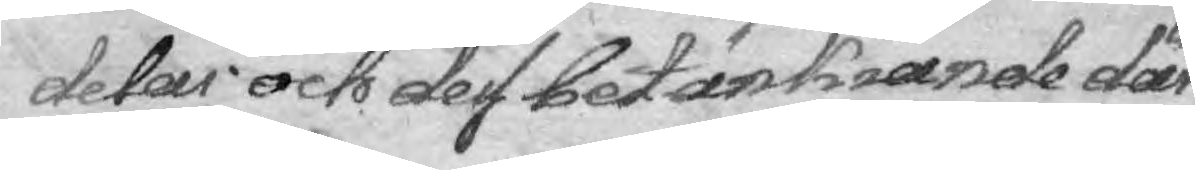delas och dess betänkiande där
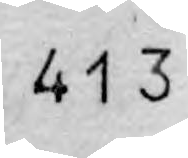413
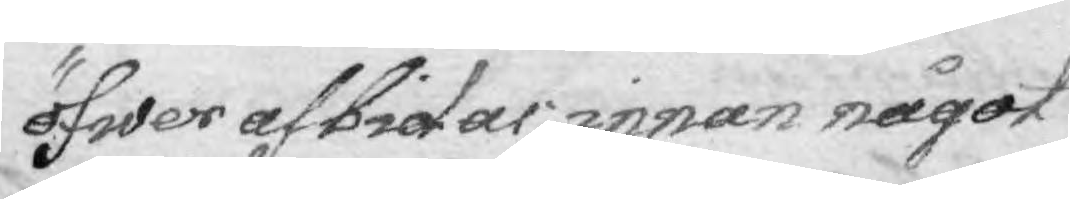öfwer afbidas, innan något
